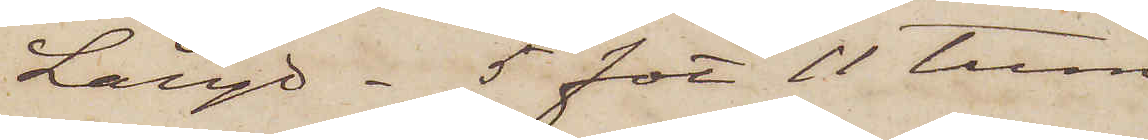Längd - 5 fot 11 tum;
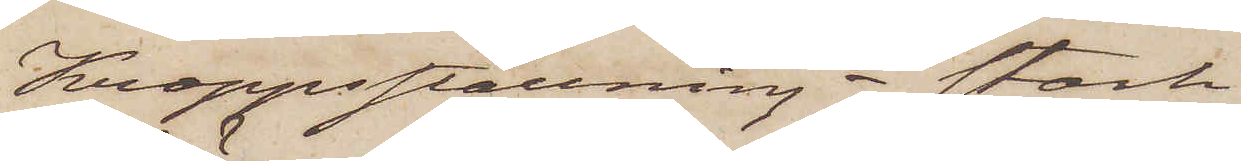Kroppsställning - stark
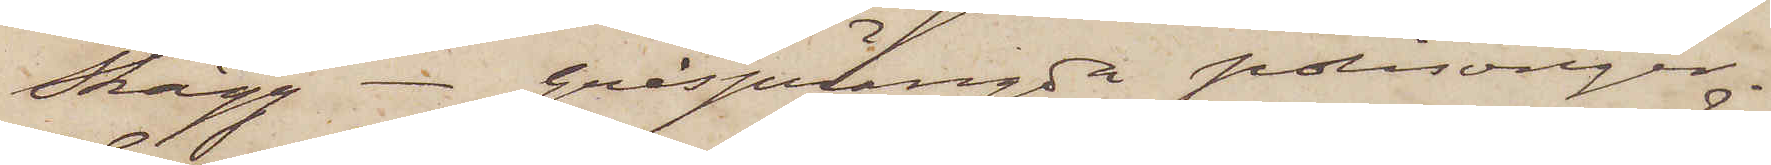Skägg - gråsprängda polisonger.
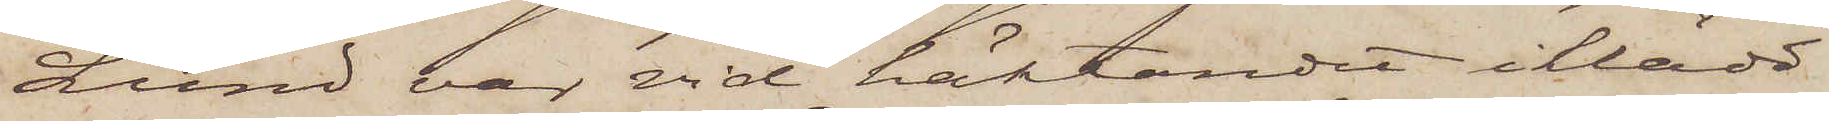Lund var vid häktandet iklädd
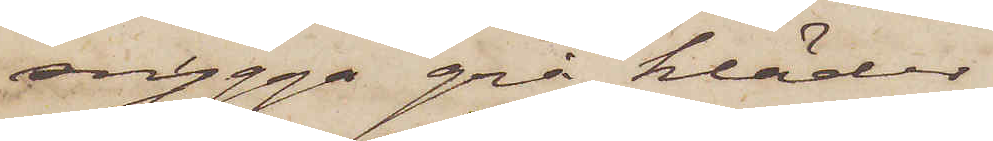snygga grå kläder.
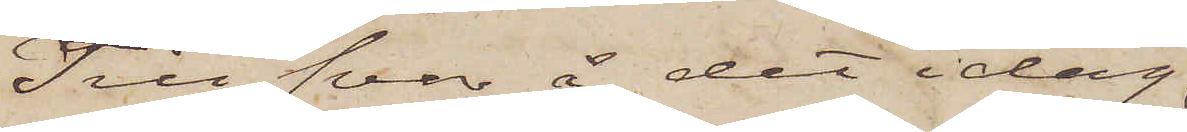Till svar å det idag
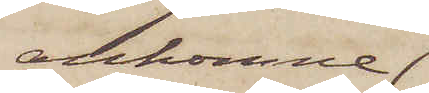ankomne
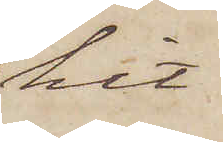hit
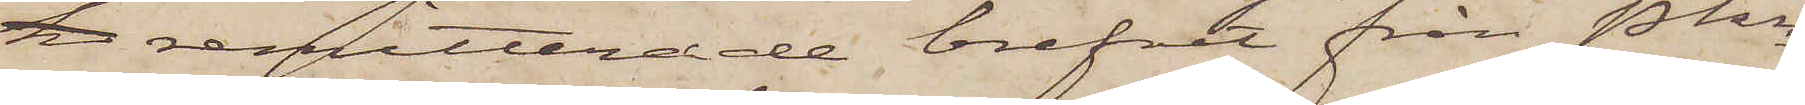remitterade brefvit från Pkn
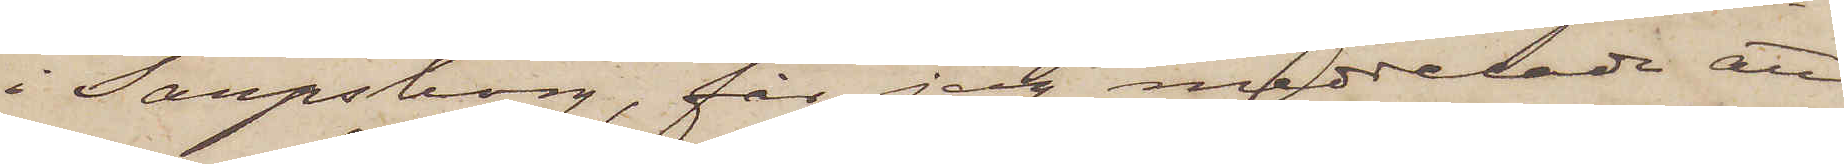i Sarpsborg, får jag meddelade att
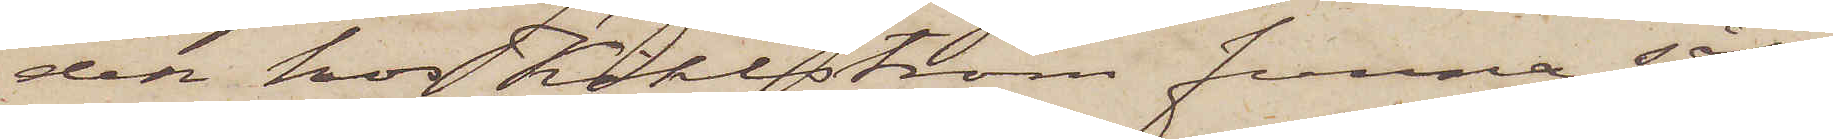den hos Kihlström funna sås¬
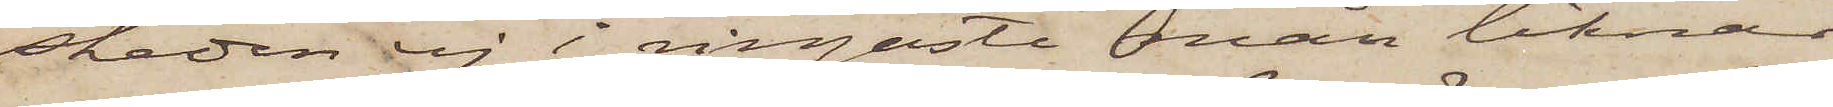skeden ej i ringaste mån liknar
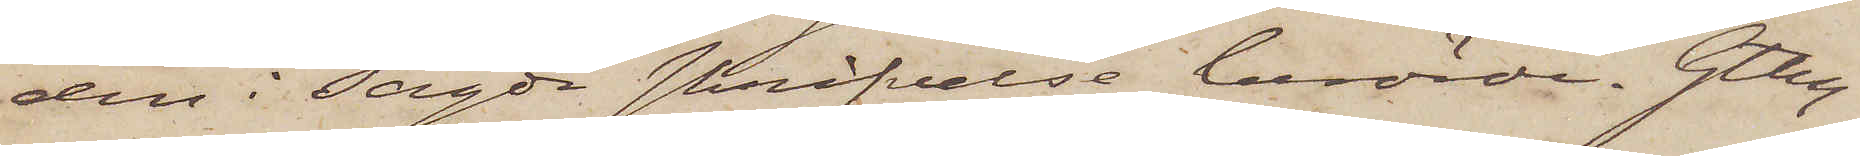den i sagde skrifvelse berörde. Gtbrg
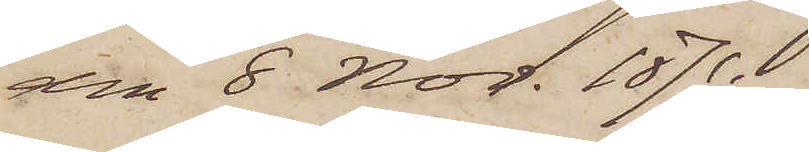den 8 Nov. 1871.
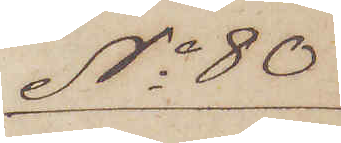No 80
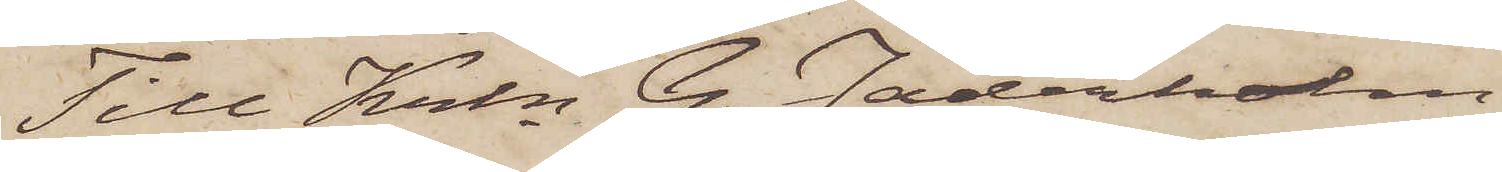Till Krln G. Jäderholm
